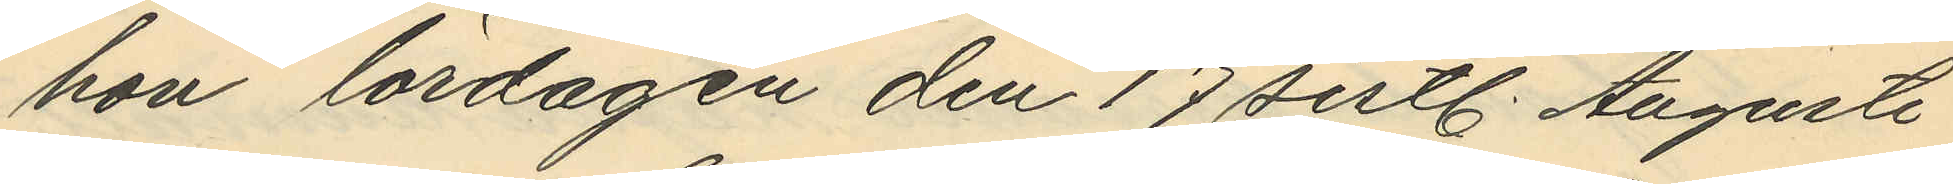hon lördagen den 17 sistl. Augusti
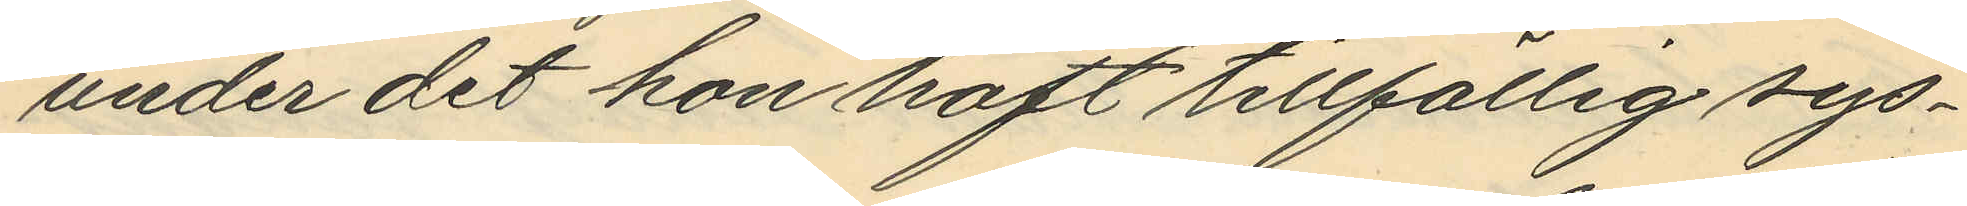under det hon haft tillfällig sys¬
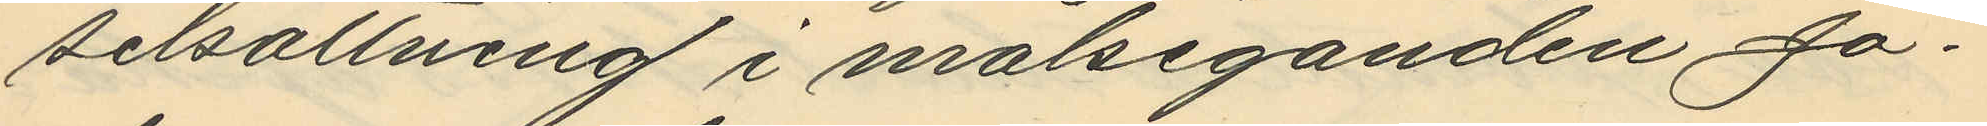selsättning i målseganden Jo¬
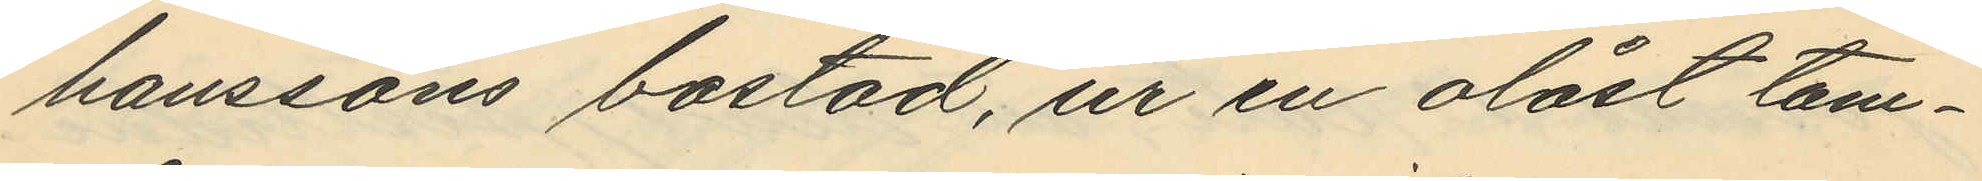hanssons bostad, ur en olåst tam¬
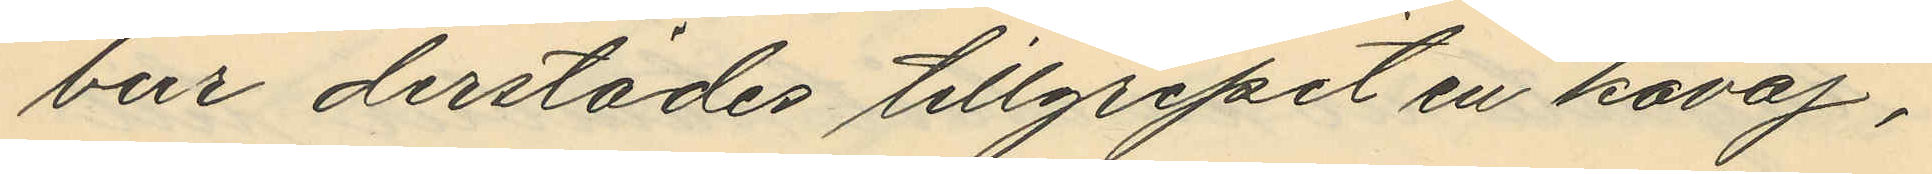bur derstädes tillgripit en kavaj,
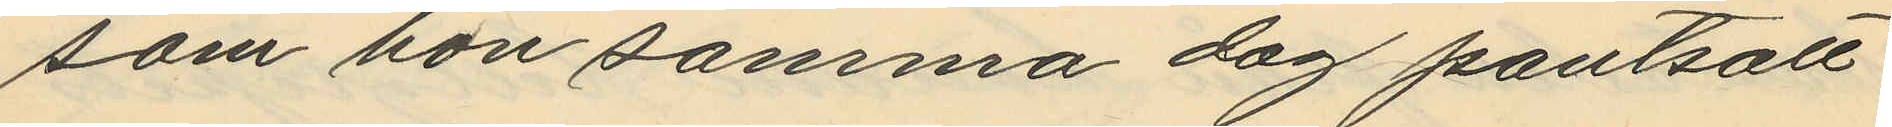som hon samma dag pantsatt
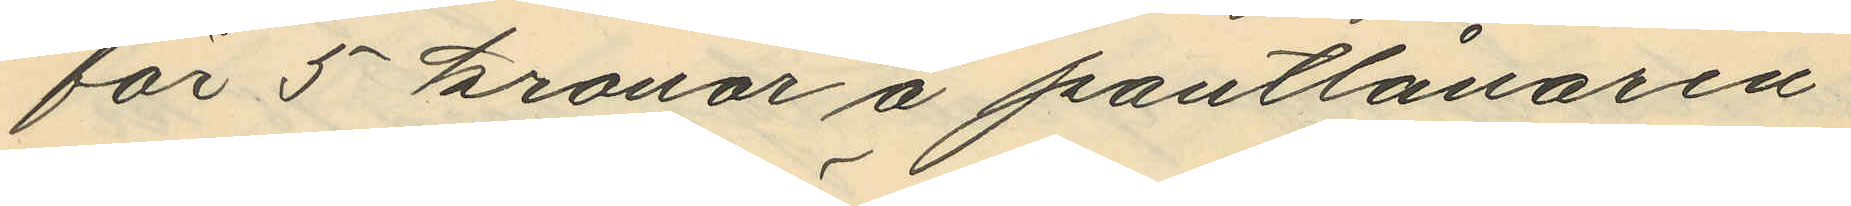för 5 kronor å pantlånaren
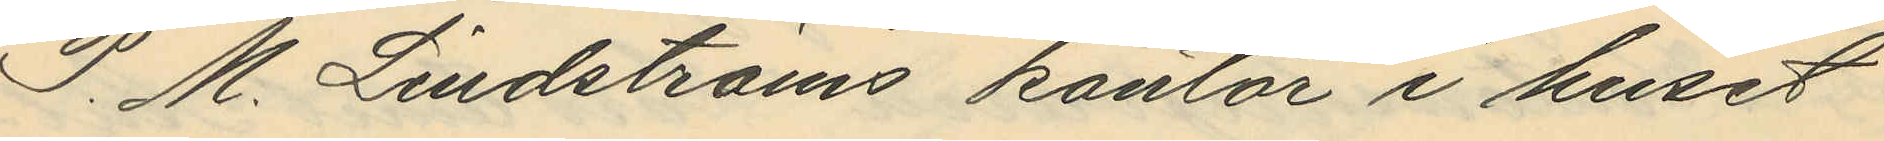P. M. Lindströms kontor i huset
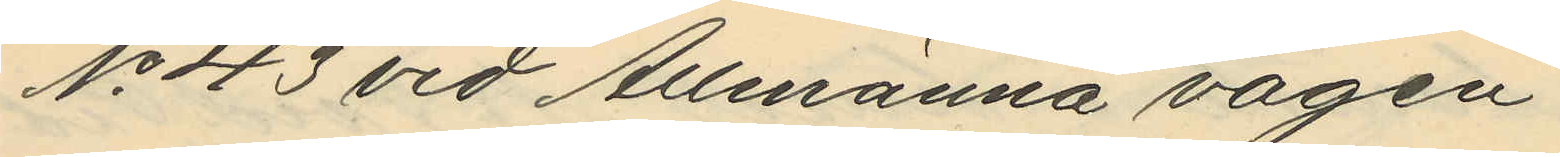No 43 vid Allmänna vägen
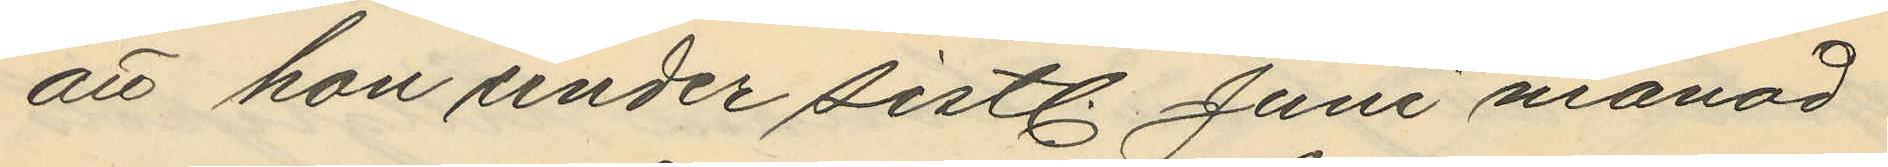att hon under sistl. Juni månad
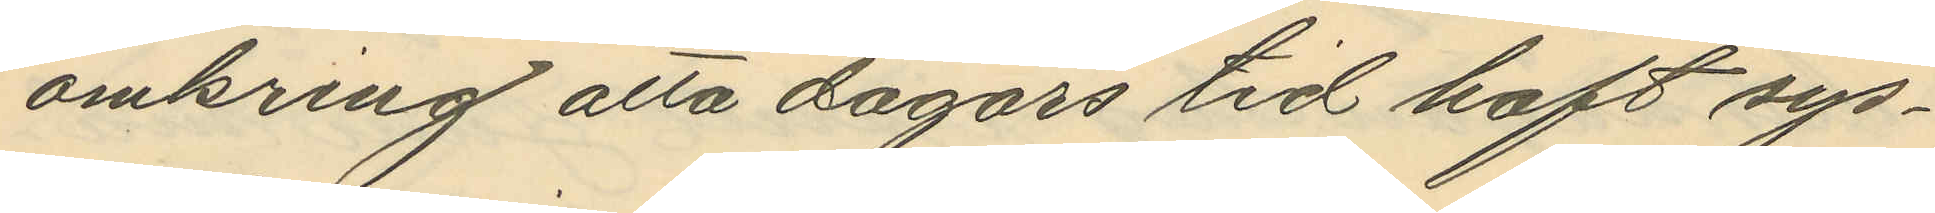omkring alla dagars tid haft sys¬
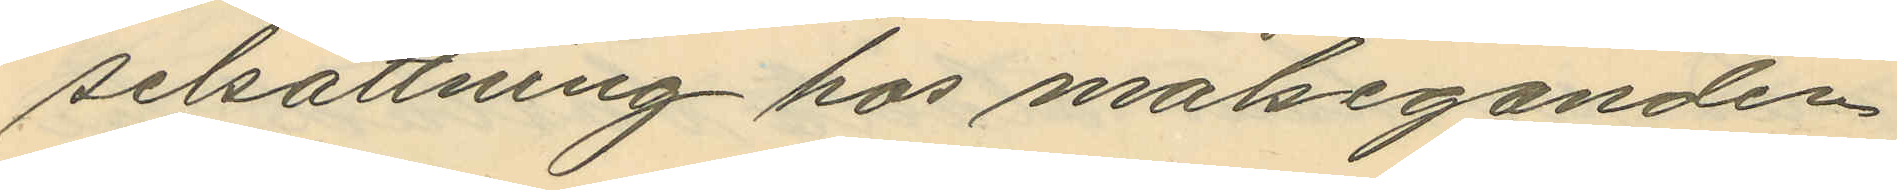selsättning hos målseganden
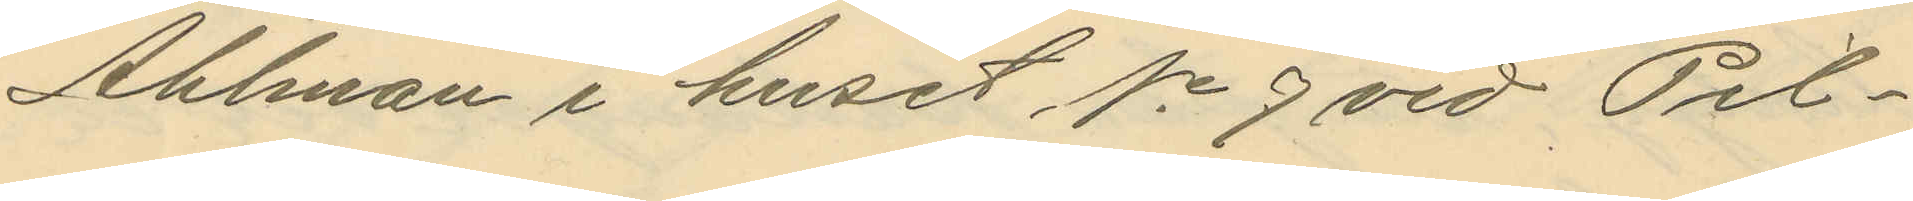Ahlman i huset No 9 vid Pil¬
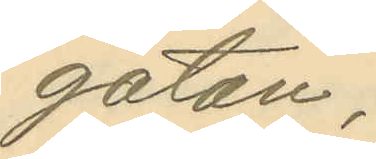gatan,
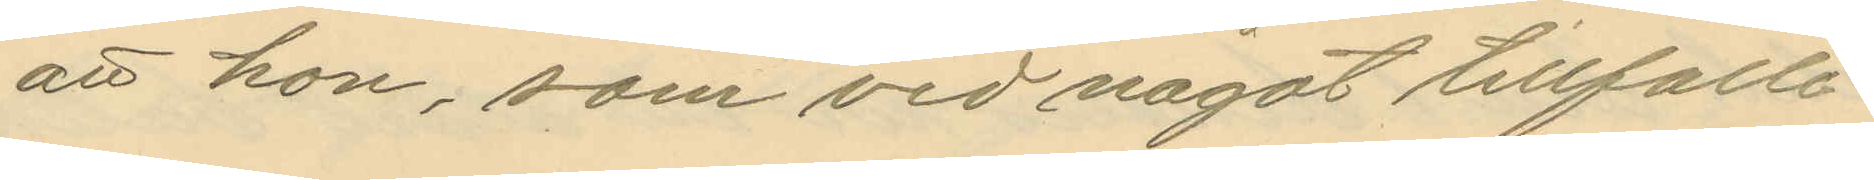att hon, som vid något tillfälle
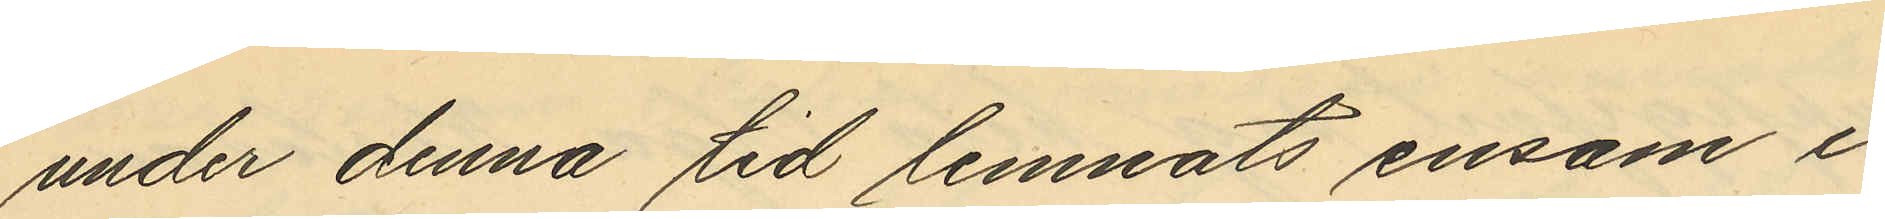under denna tid lemnats ensam i
